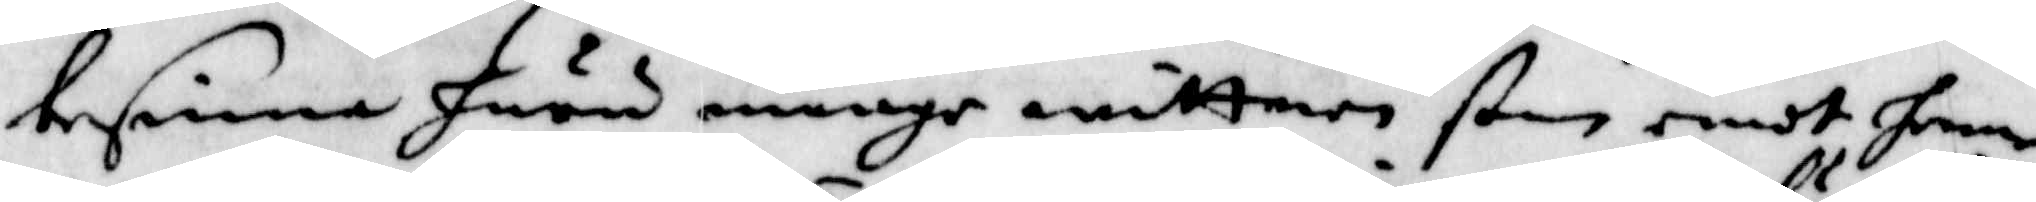besinna huru månge wittnen ßom emot henne
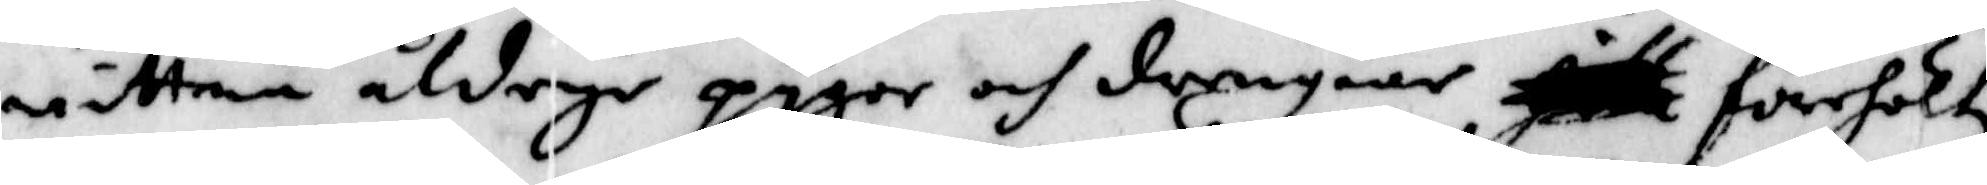wittna, åldrige pygor och drengoar förehöltz
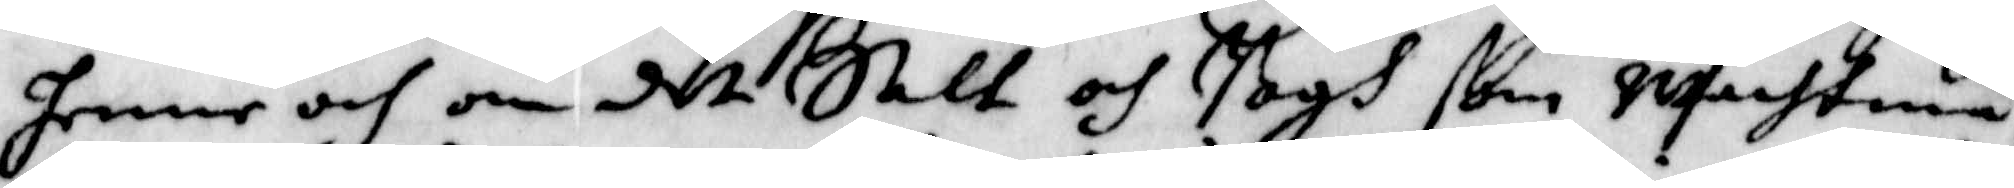henne och om det Salt och Bogh ßom wachtmä¬
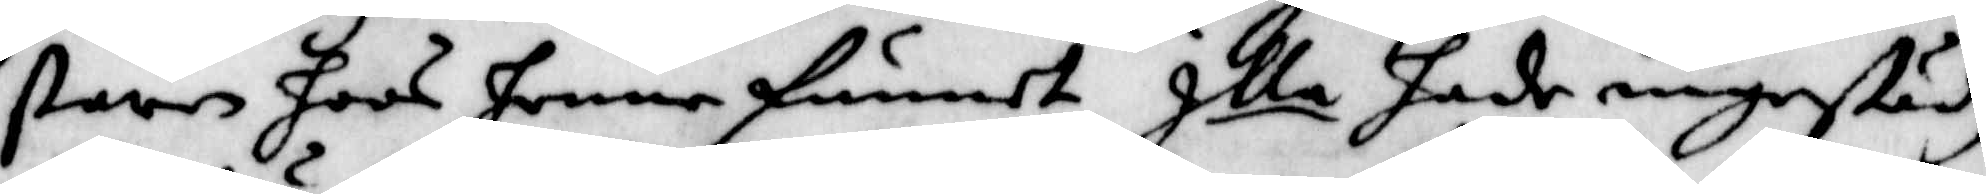staren hoos henne funnedt Illa hade ingestädz
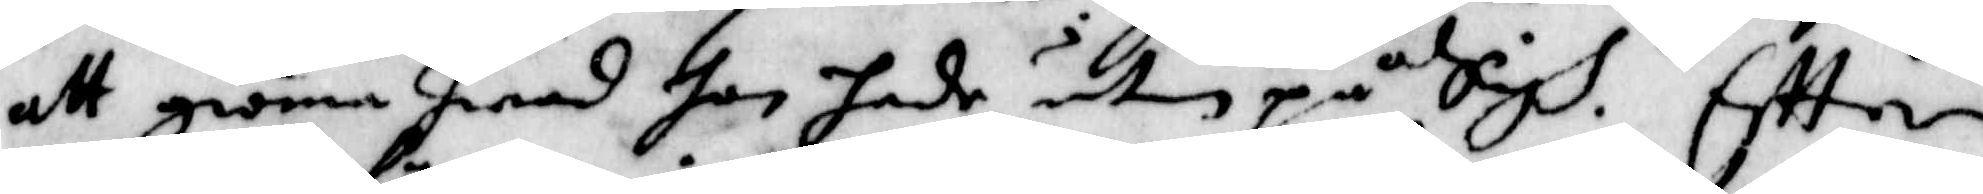att giöra hwad hon hade utan på Sigh. Eftter
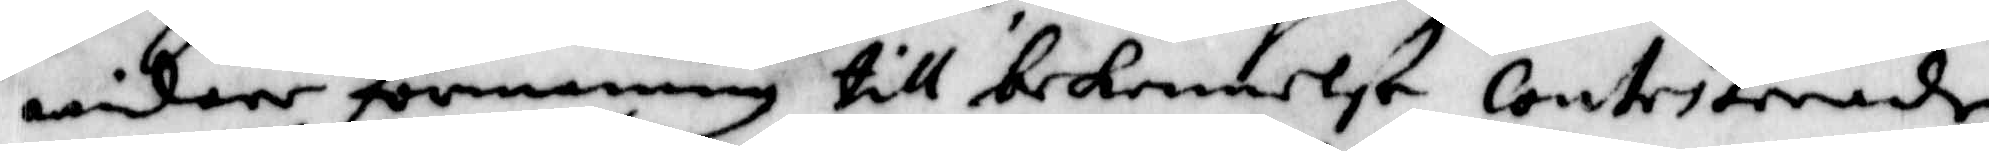widare förmaning till bekennelse, contesterade
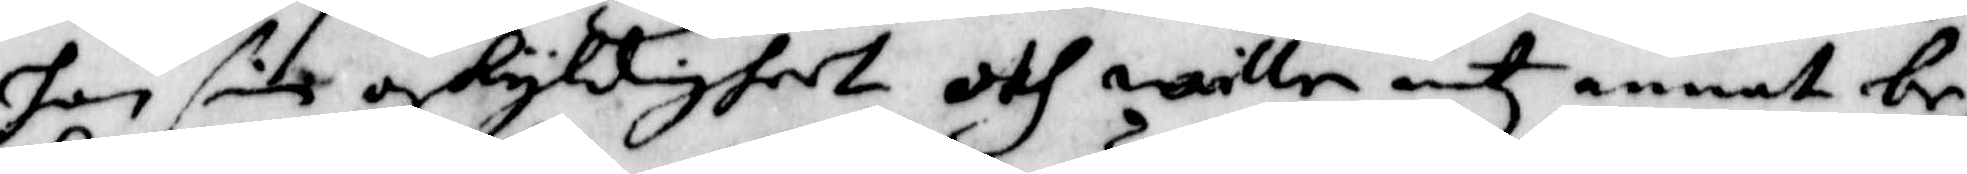hon sin oskyldigheet och wille intz annat be¬
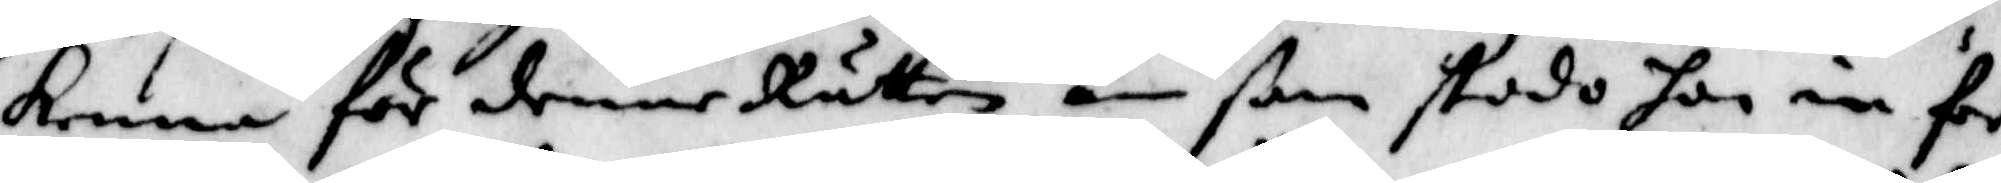kenna för denne Rätten än ßom stodo hon in för
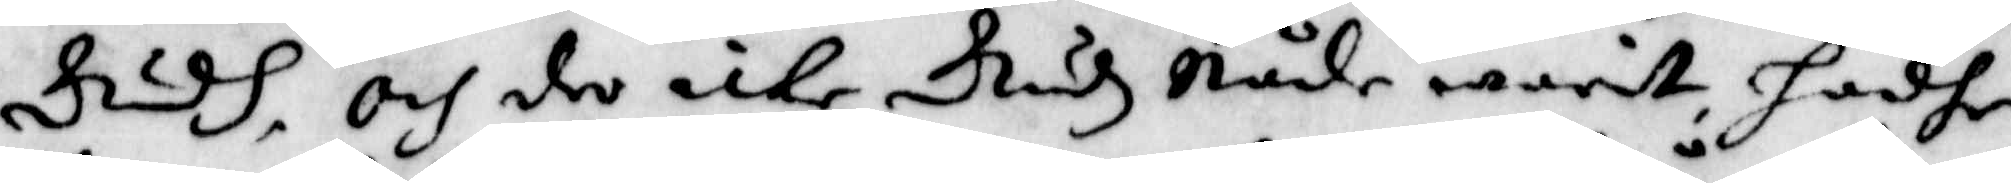Gudh, och der icke Gudz Nåde warit, hadhe
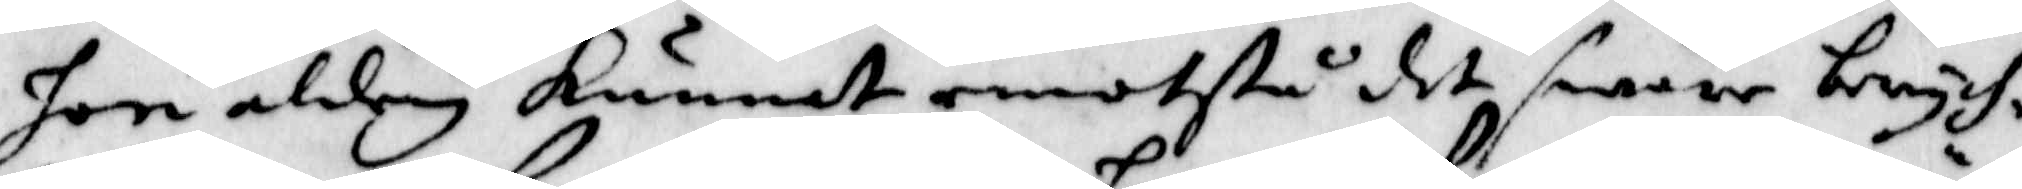hon aldrig kunnat emotstå det swåre berych¬
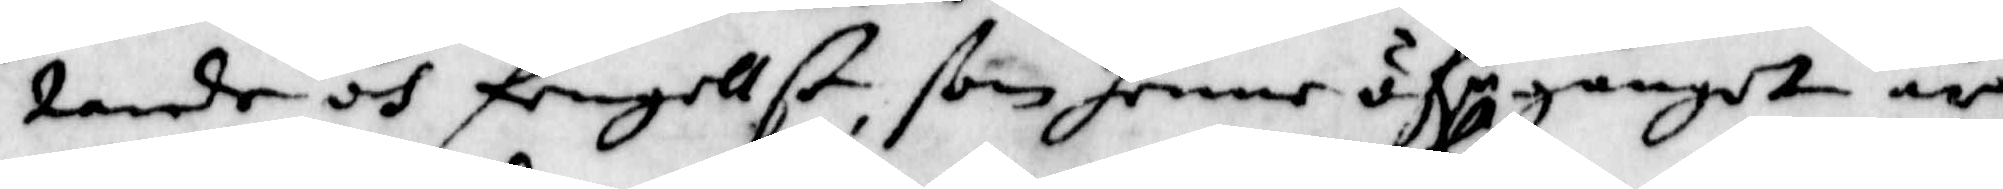tande och fengellst, som henne öf.r gånget är
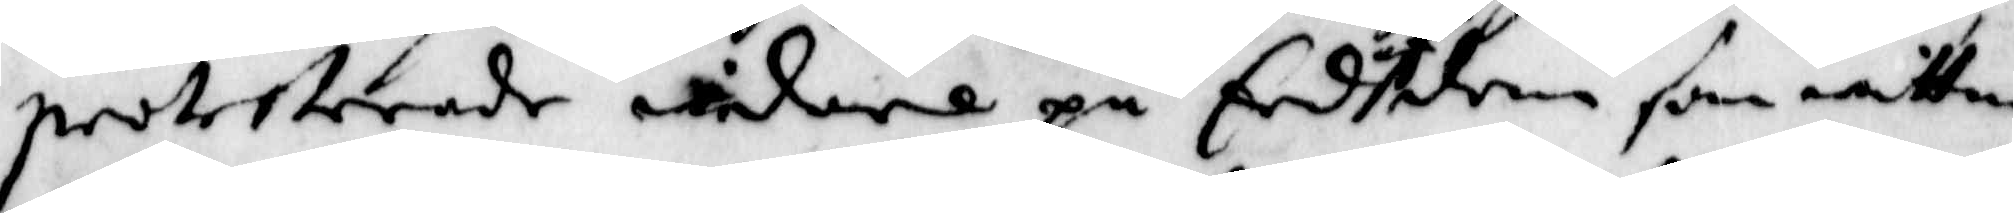protesterade widare på Edh af den som wittna
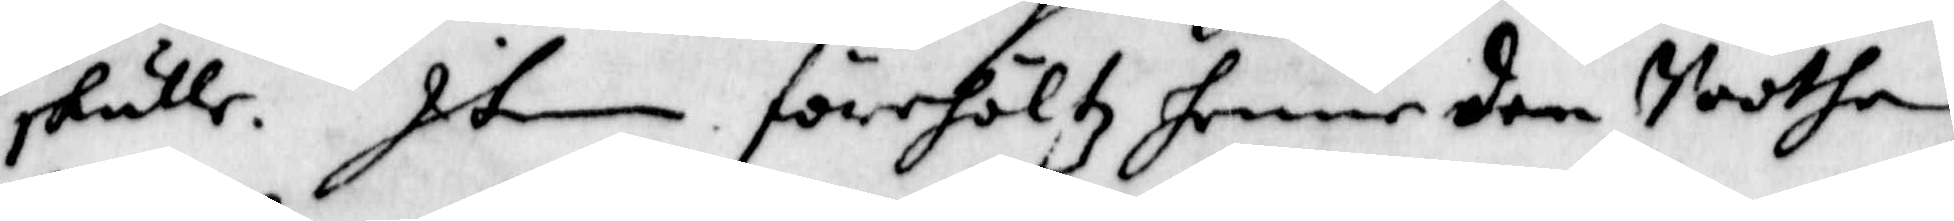skulle. Item förehöltz henne den Soothen
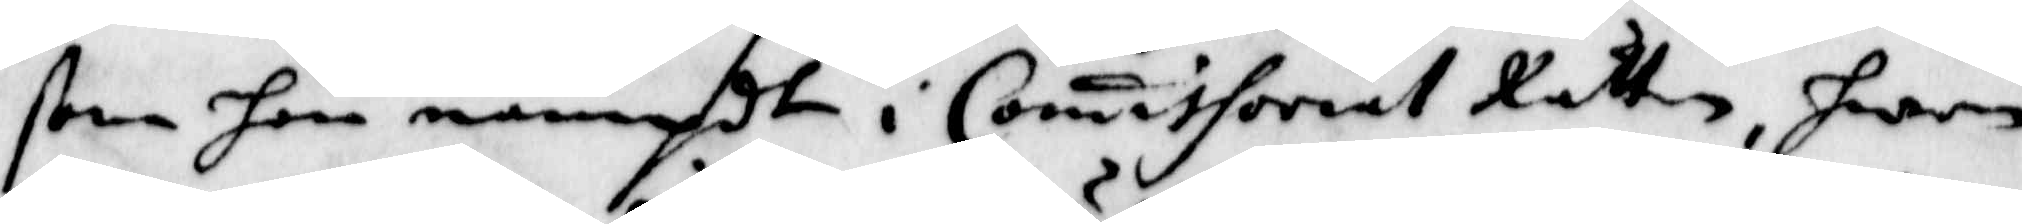ßom hon nämdt i Comissorial Rätten, hwem
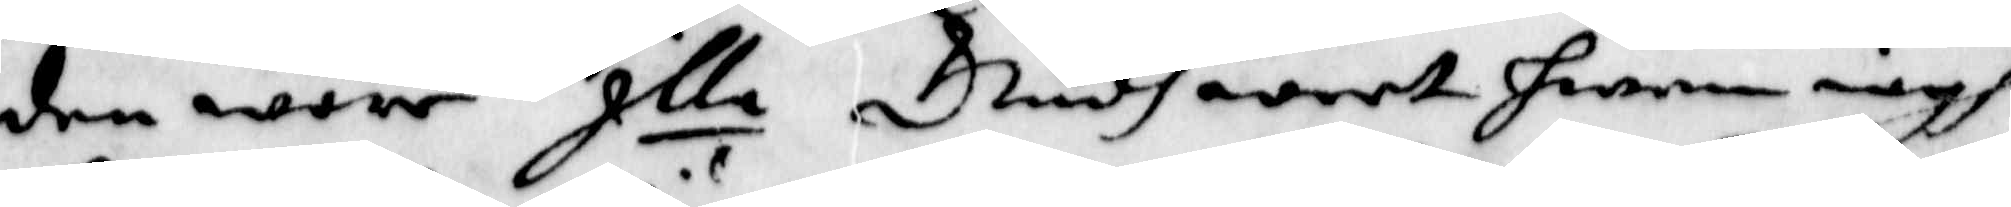den wore Illa Gudh weet hwem iagh
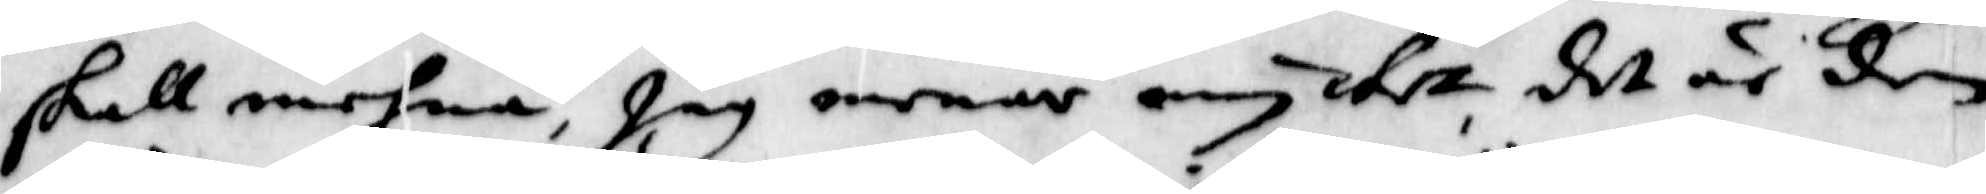skall mehna, jag menar om intz det är den
